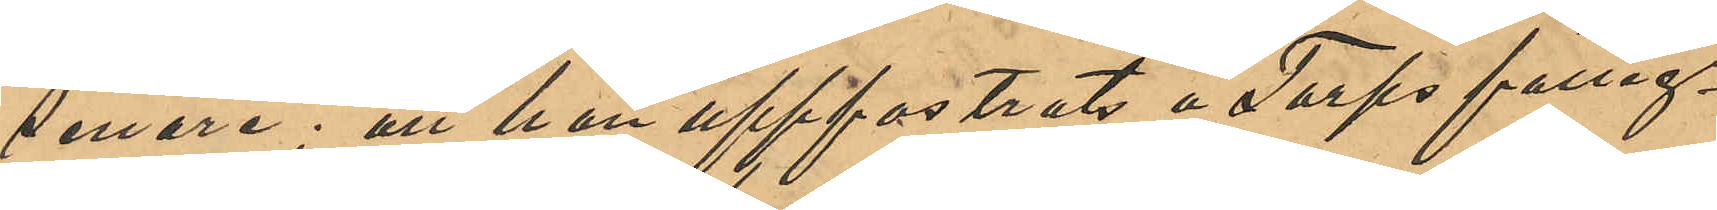senare; att han uppfostrats å Torps fattig¬
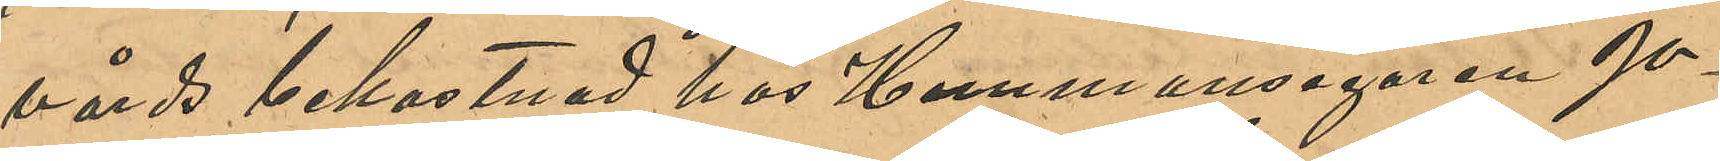vårds bekostnad hos Hemmansegaren Jo¬
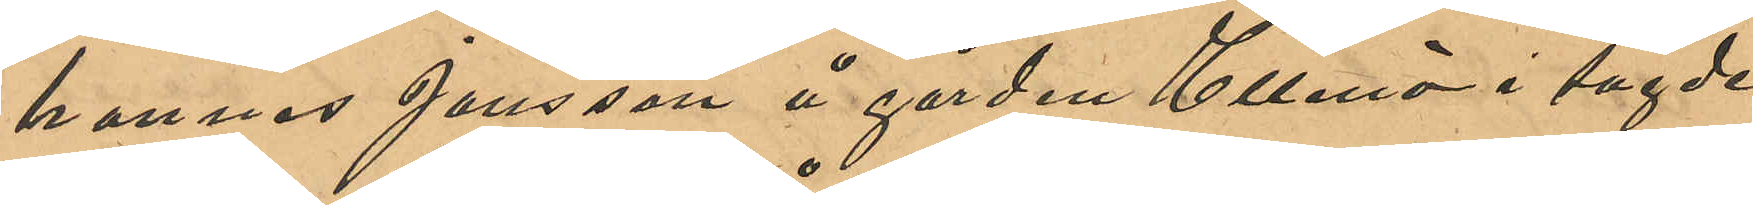hannes Jansson å gården Ellenö i sagde
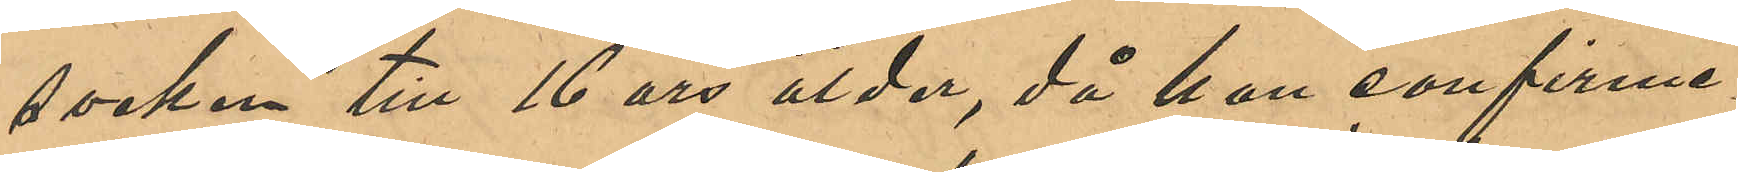socken till 16 års ålder, då han confirme¬
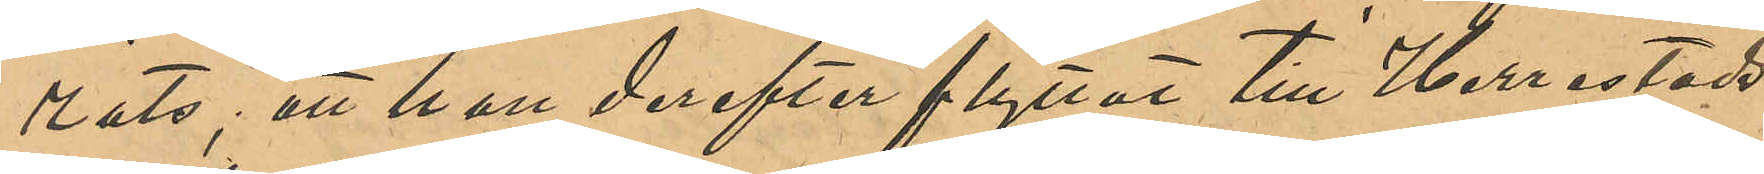rats; att han derefter flyttat till Herrestads
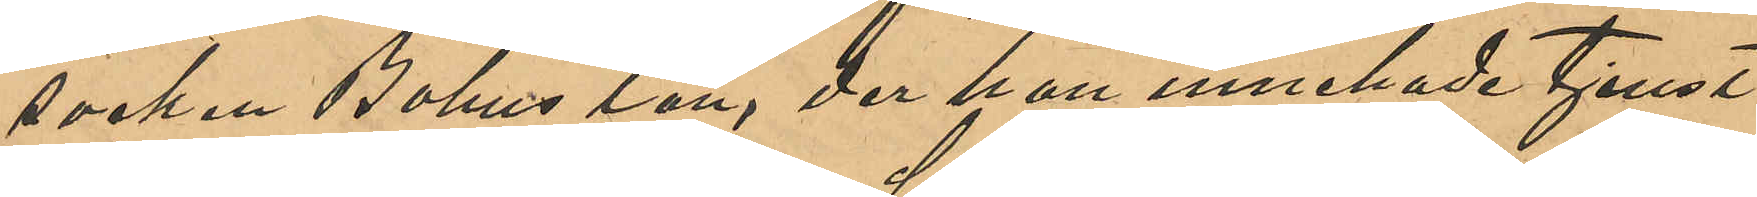socken Bohus län, der han innehade tjenst
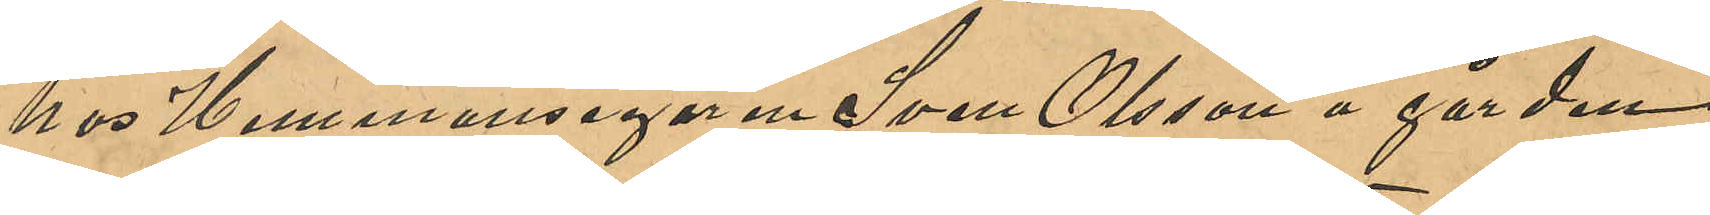hos Hemmansegaren Sven Olsson å gården
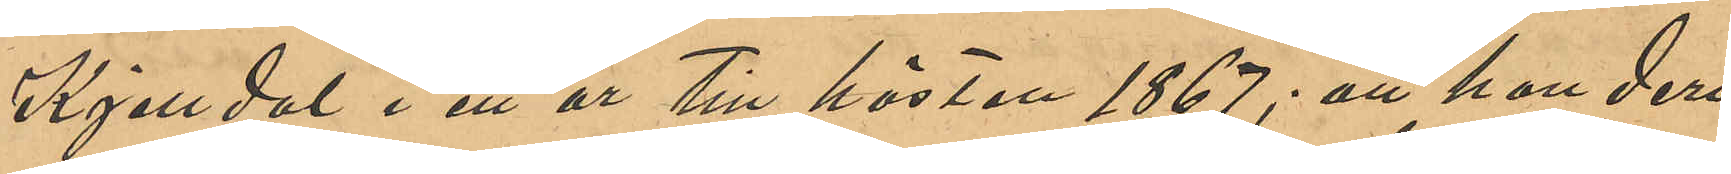Kjerrdal i ett år till hösten 1867; att han deri¬
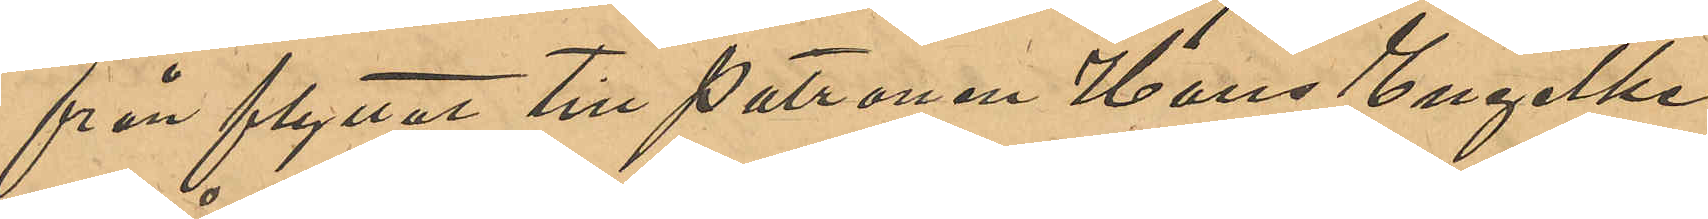från flyttat till Patronen Hans Engelke
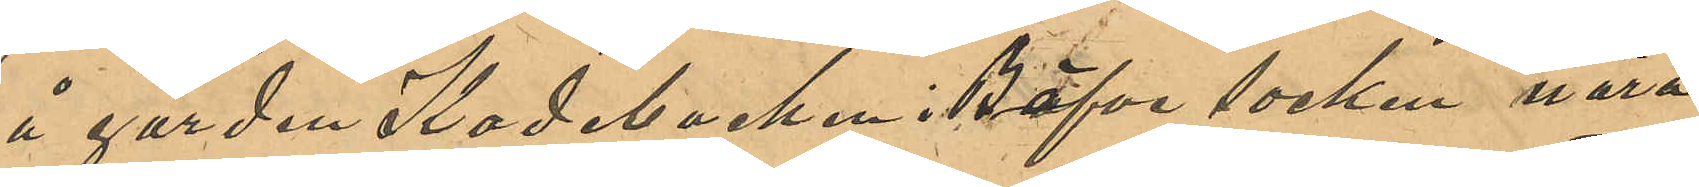å gården Kadebacken i Bäfve socken nära
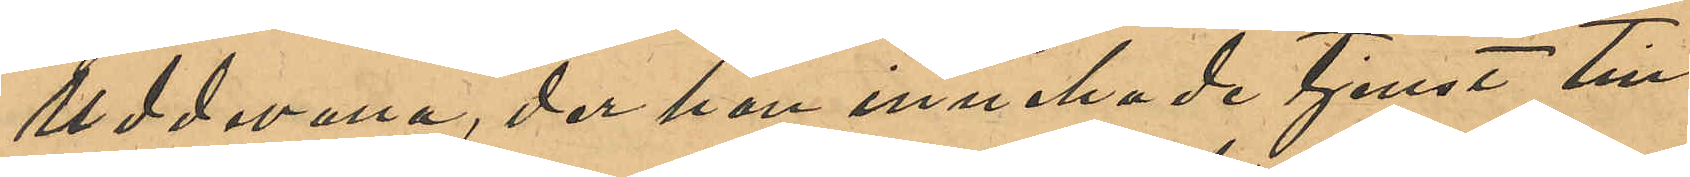Uddevalla, der han innehade tjenst till
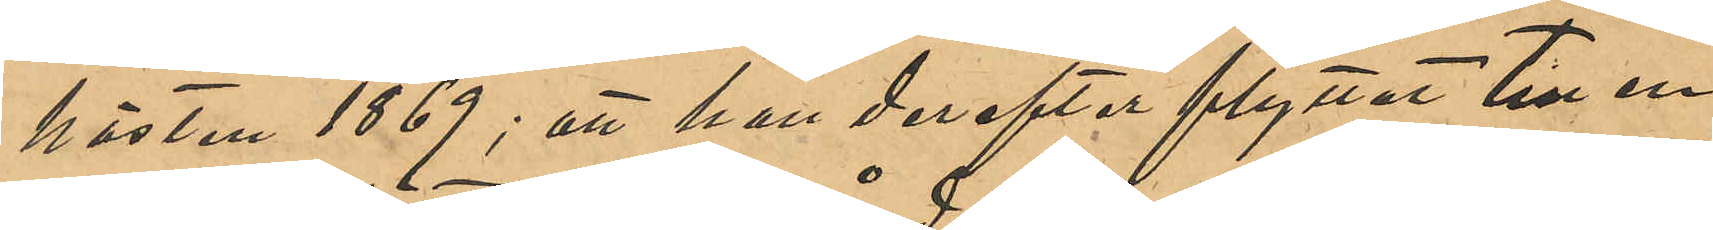hösten 1869; att han derefter flyttat till en
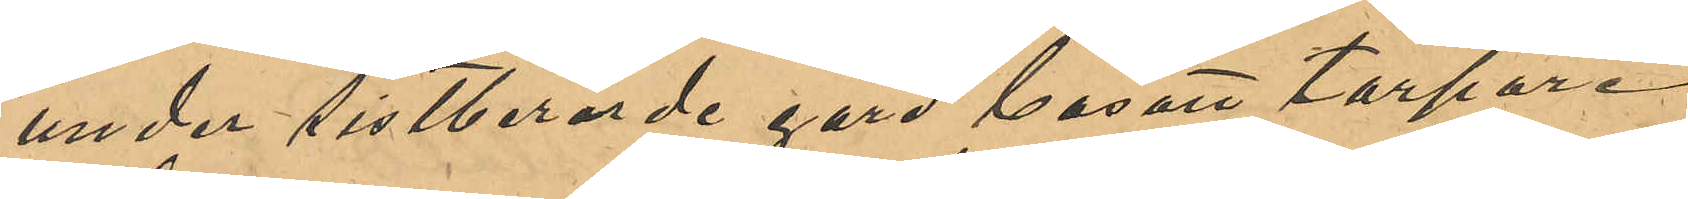under sistberörde gård bosatt torpare
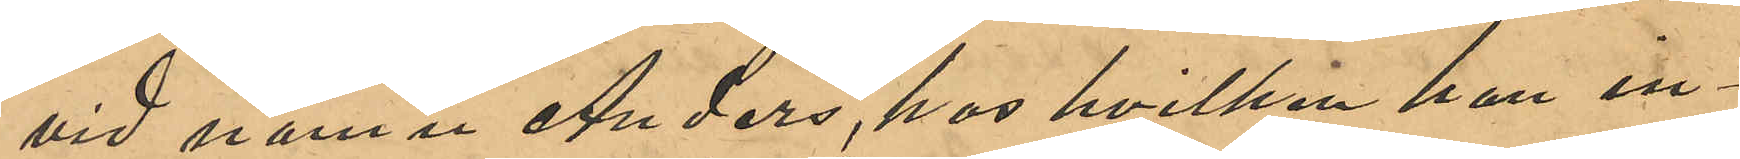vid namn Anders, hos hvilken han in¬
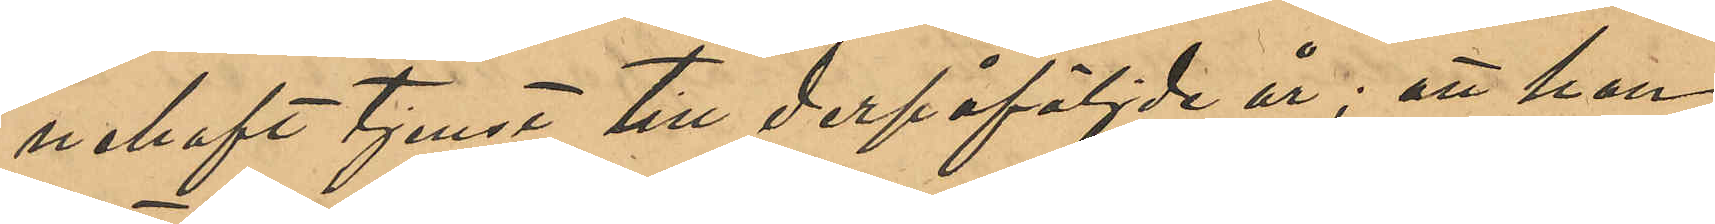nehaft tjenst till derpåföljde år; att han
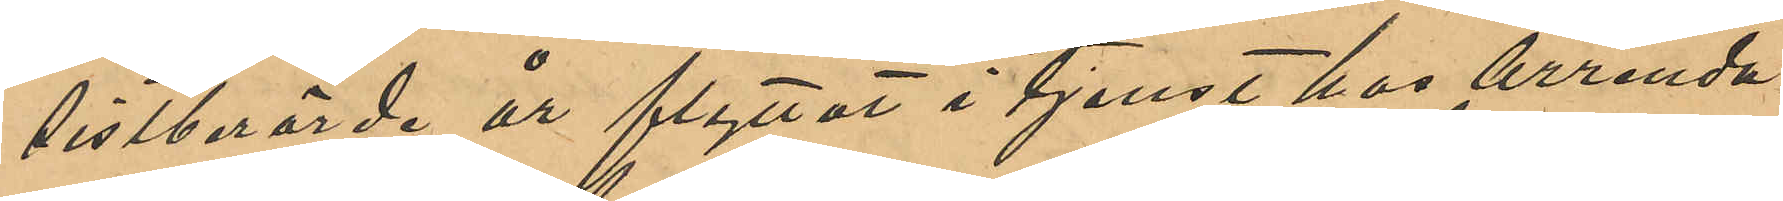sistberröde år flyttat i tjenst hos Arrenda¬
